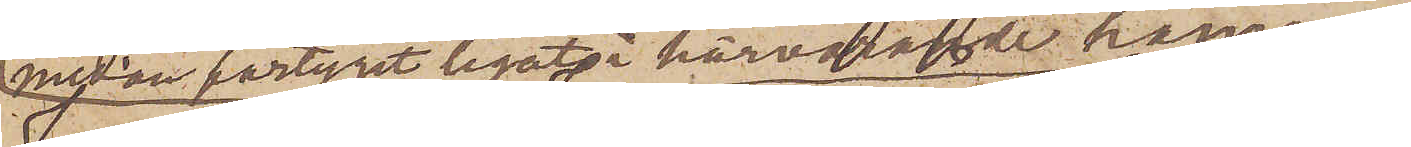medan fartyget legat å härvarande hamn,
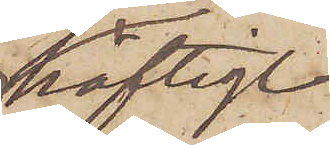häftigt
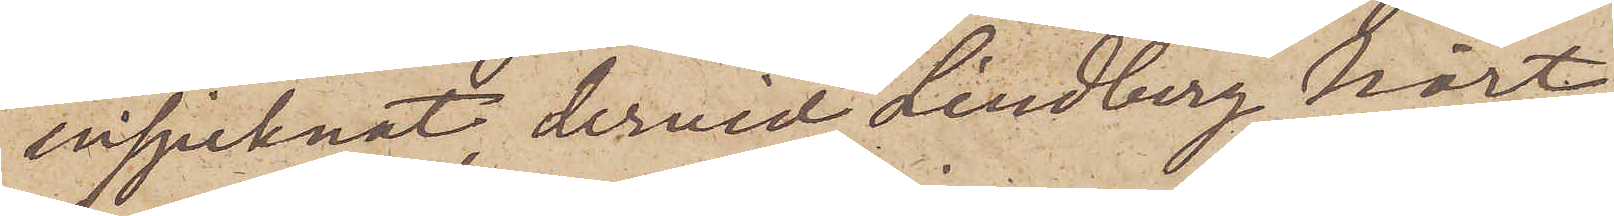insjuknat dervid Lindberg hört
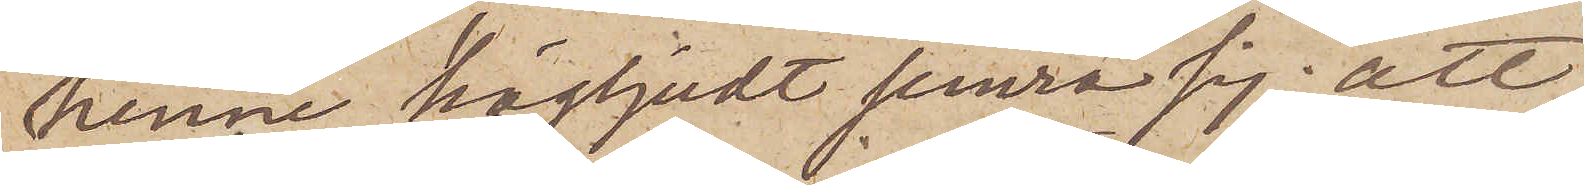henne högljudt jemra sig; att
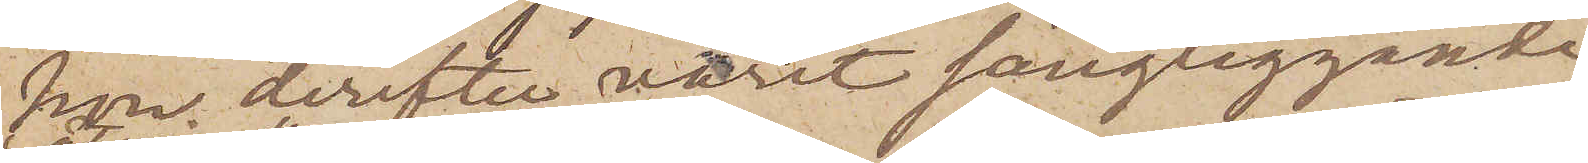hon derefter varit sängliggande
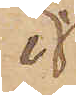i
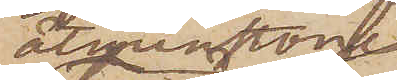åtminstone
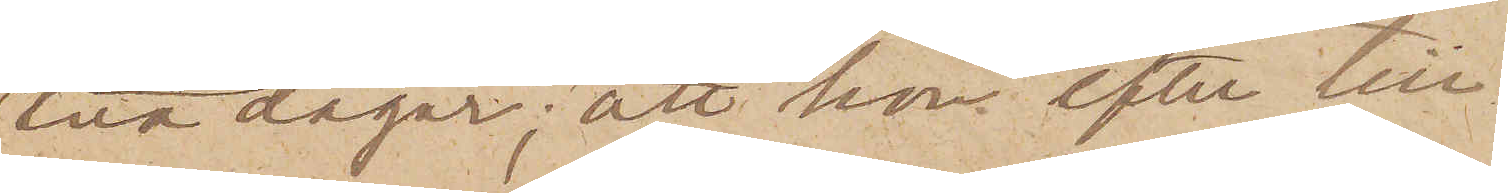två dagar; att hon efter till¬
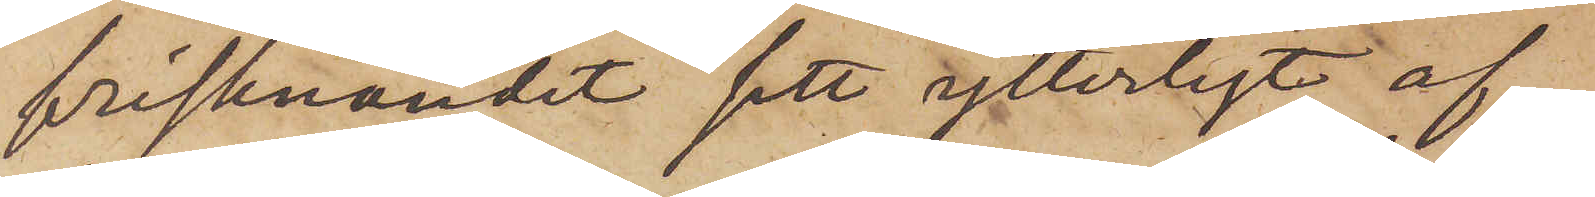frisknandet sett ytterligt af¬
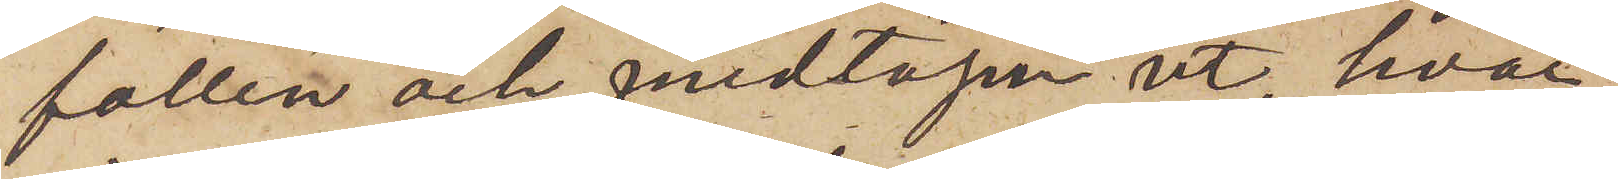fallen och medtagen ut, hvar¬
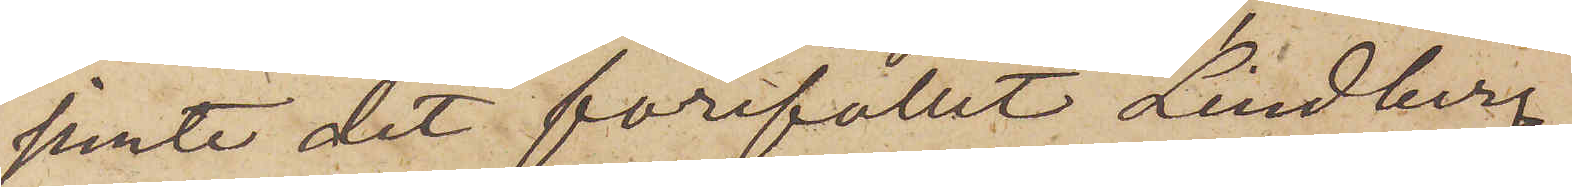jemte det förefallit Lindberg
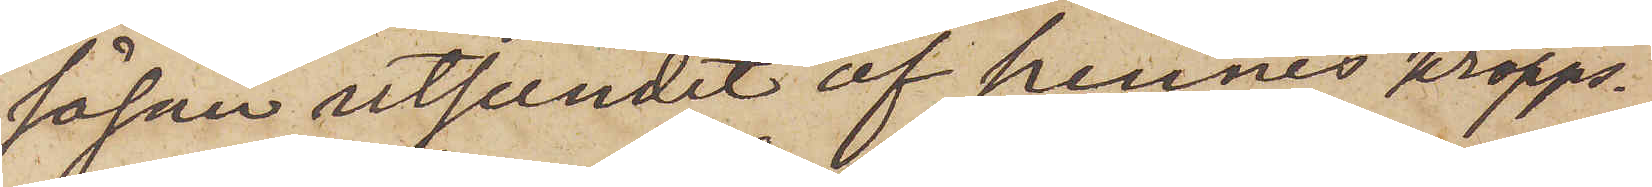såsom utseendet af hennes kropps¬
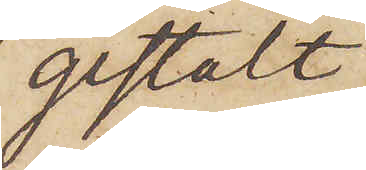gestalt
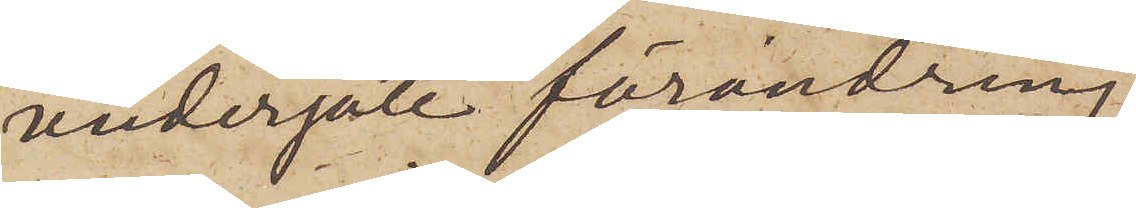undergått förändring
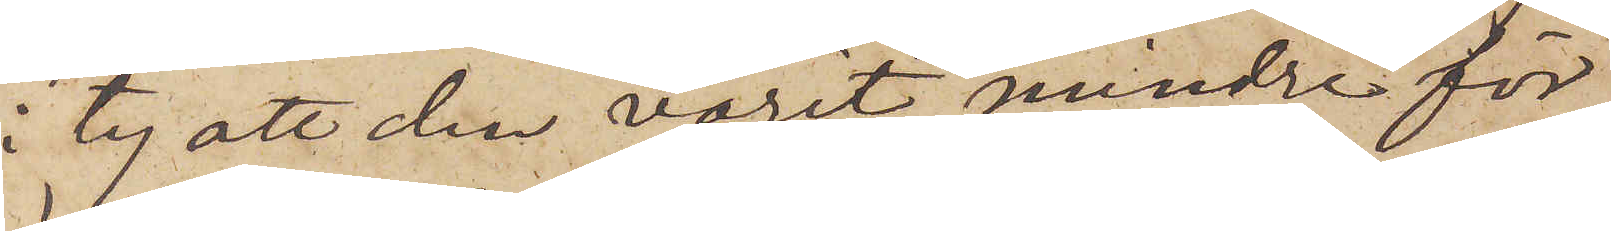i ty att den varit mindre "för"
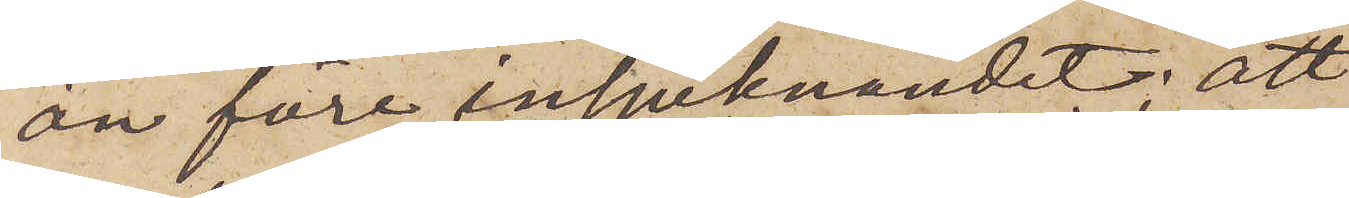än före insjuknandet; att
